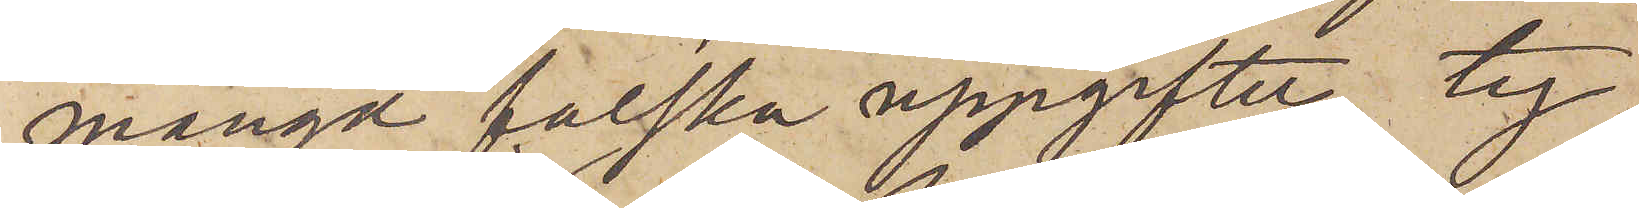mängd falska uppgifter, ty
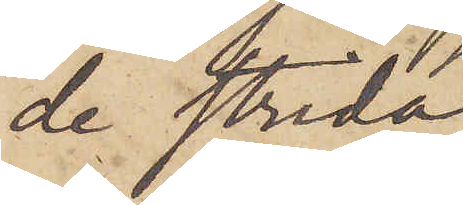de strida
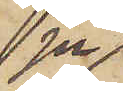ju
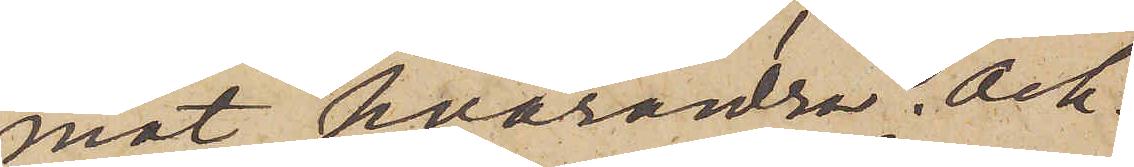mot hvarandra. Och
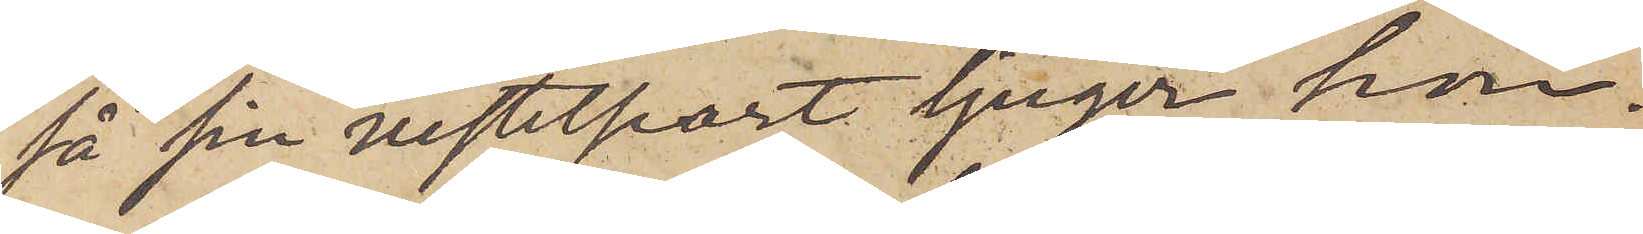så sin vistelseort ljuger hon.
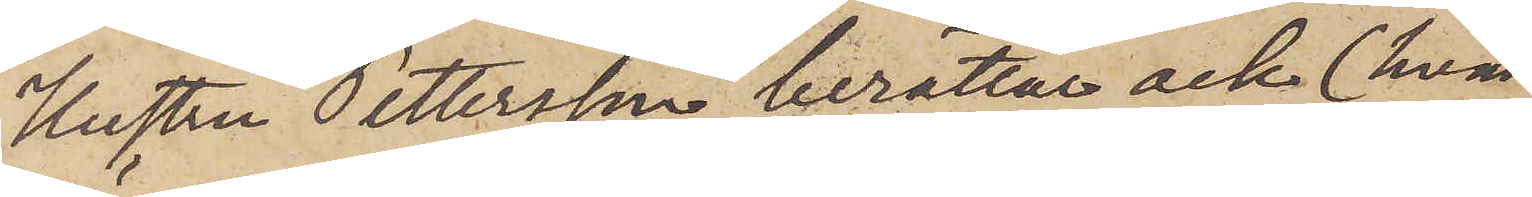Hustru Pettersson berättat ock (hvad
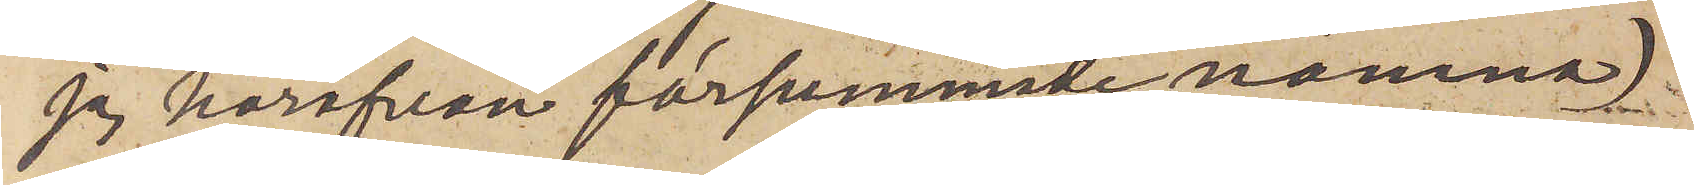jag härofvan försummade nämna)
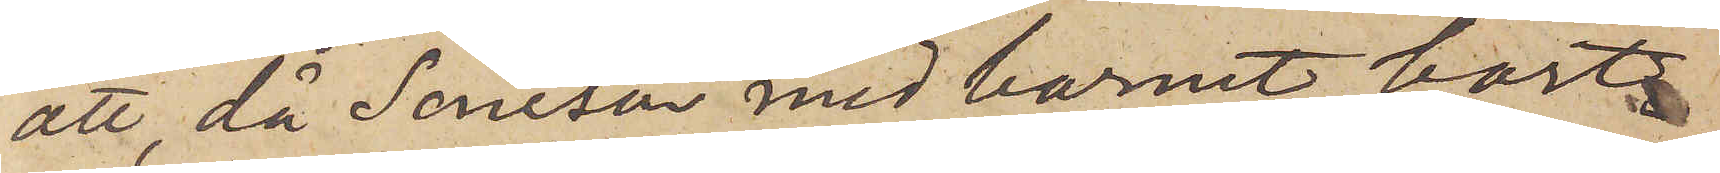att, då Soneson med barnet bort¬
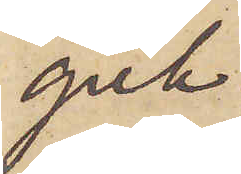gick
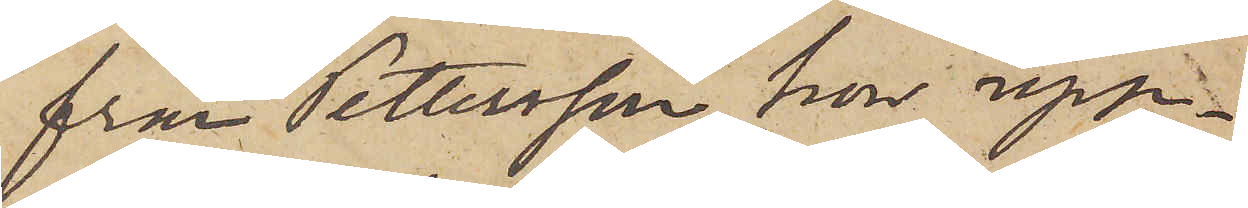från Pettersson, hon upp¬
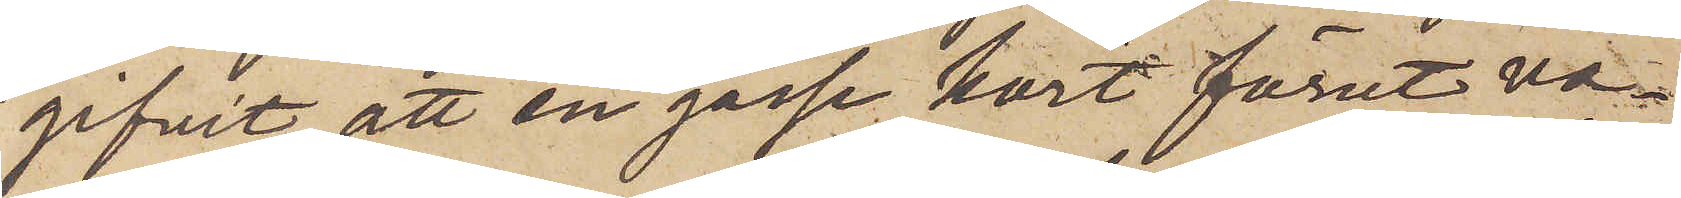gifvit, att en gosse kort förut va¬
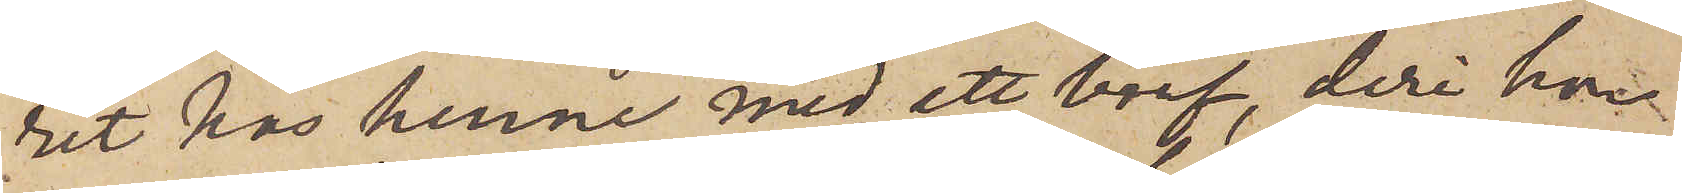rit hos henne med ett bref, deri hon
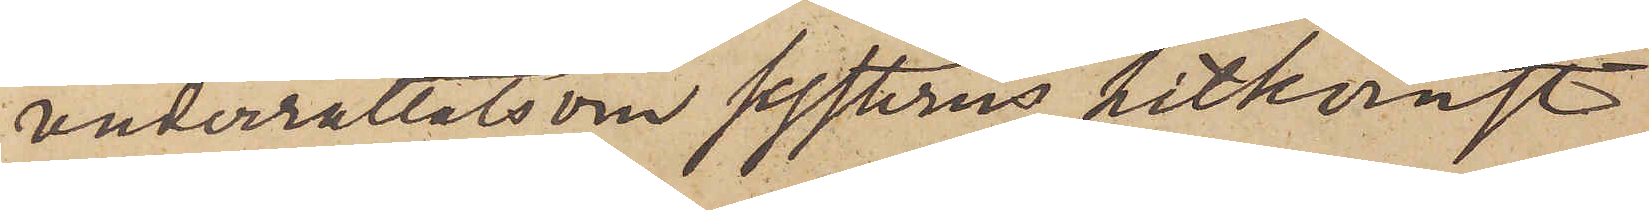underrättats om systerns hitkomst
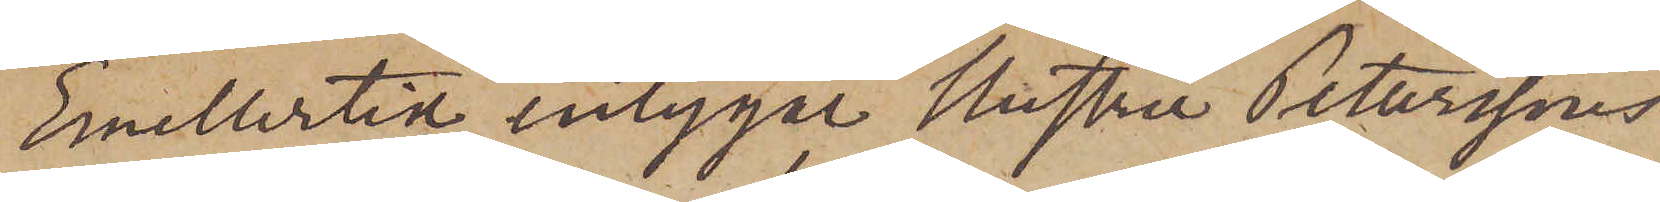Emellertid intygar hustru Peterssons
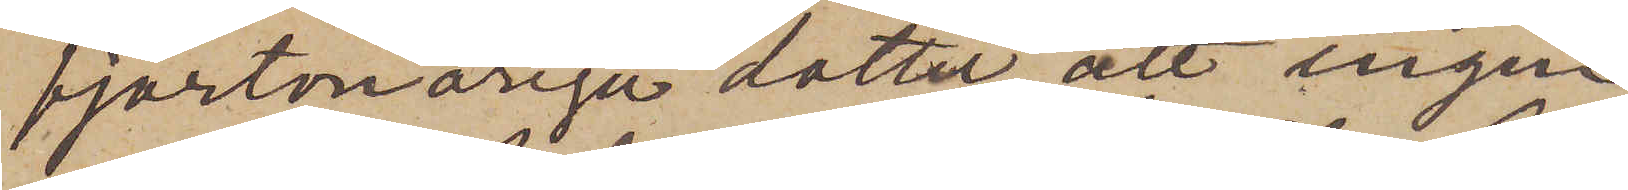fjortonåriga dotter, att ingen
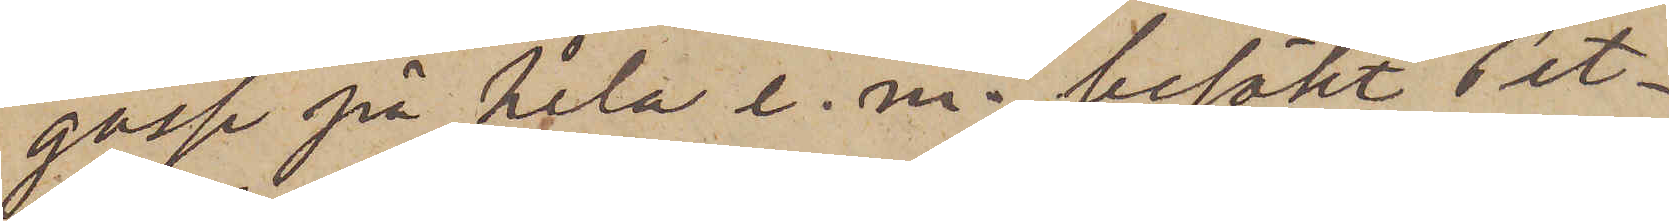gosse på hela e. m. besökt Pet¬
